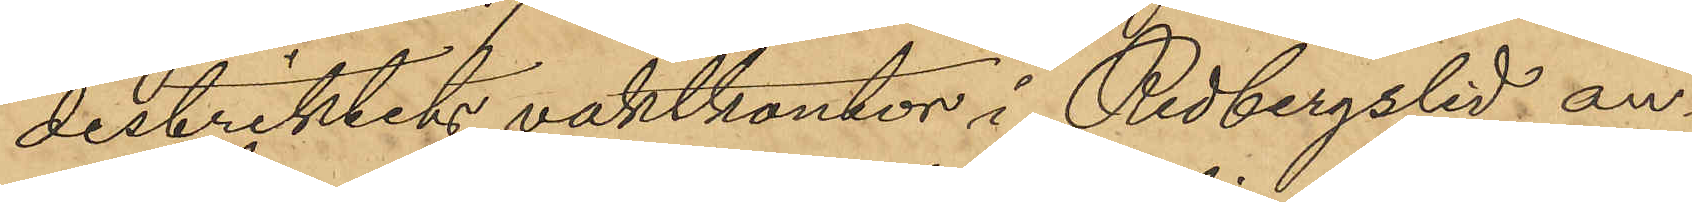distriktets vaktkontor i Redbergslid an¬
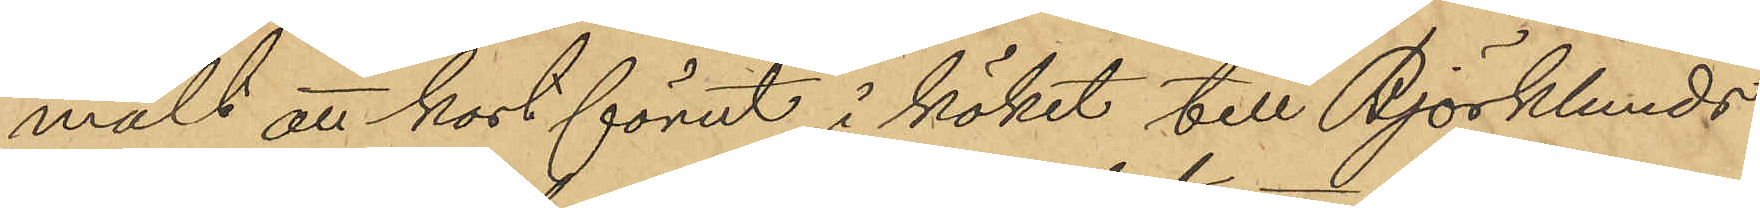mält att kort förut i köket till Björklunds
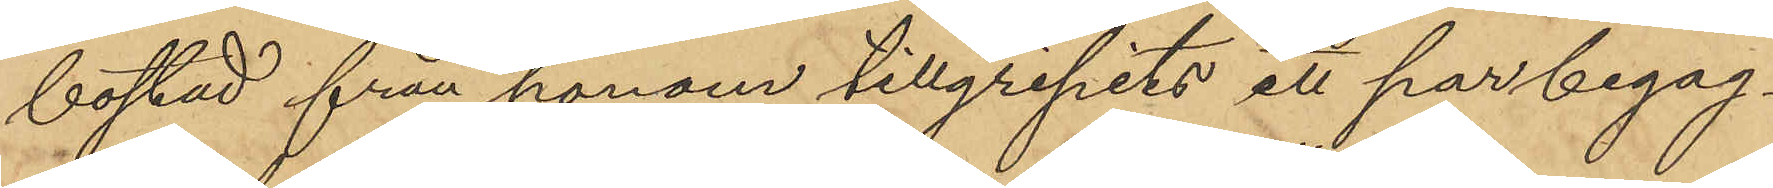bostad från honom tillgripits ett par begag¬
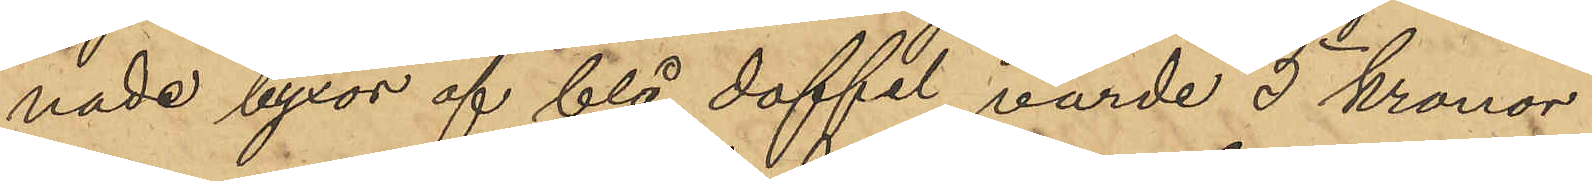nade byxor af blå doffel, värde 5 kronor.
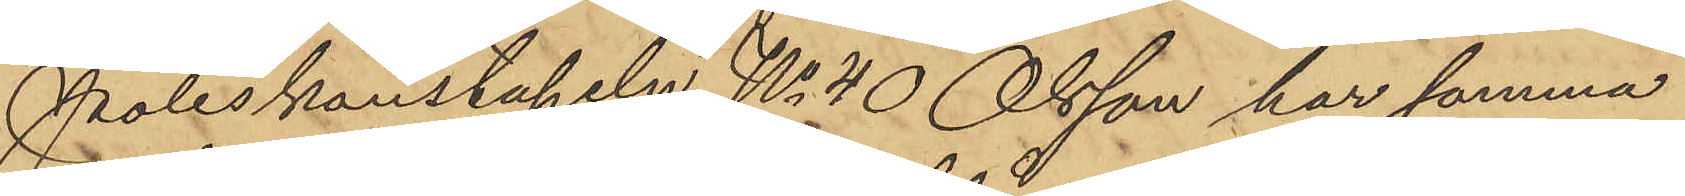Poliskonstapeln No 40 Olsson har samma
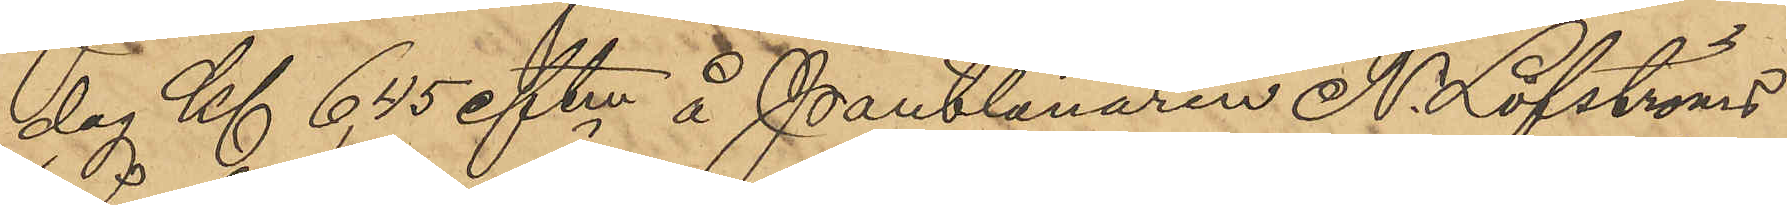dag Kl 6,35 eftm å Pantlånaren N. Löfströms
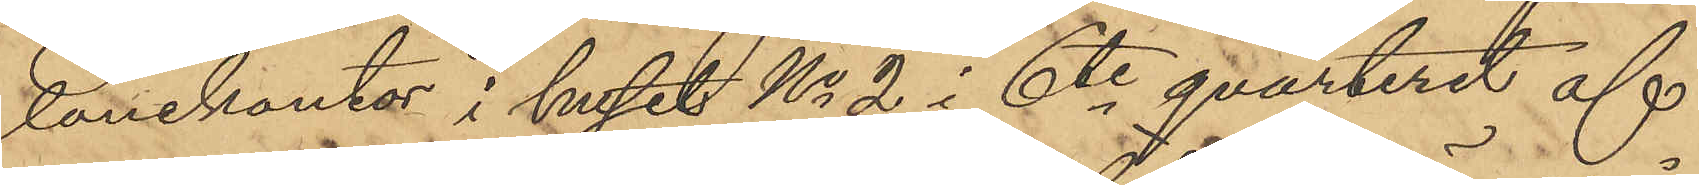lånekontor i huset No 2 i 6te qvarteret af
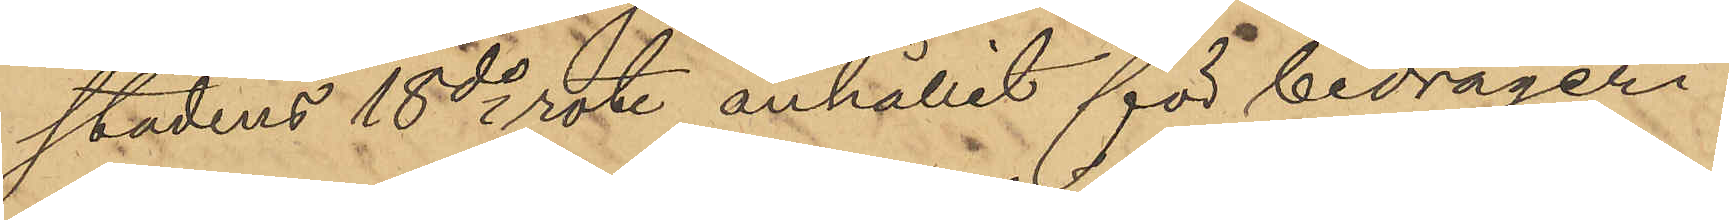stadens 18de rote anhållit för bedrägeri
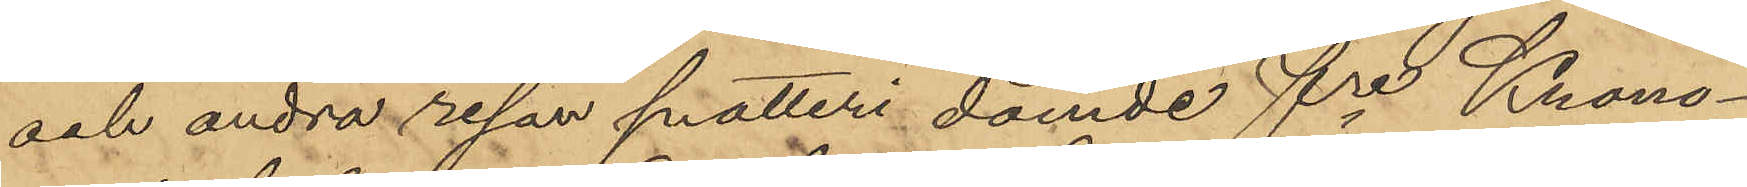och andra resan snatteri dömde fre Krono¬
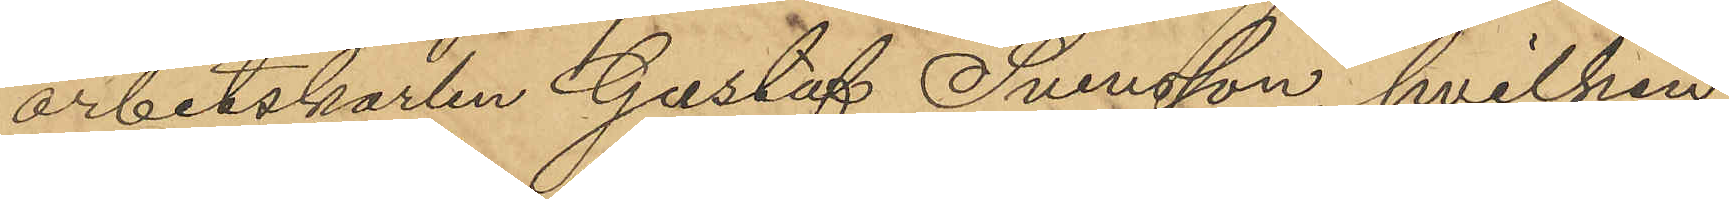arbetskarlen Gustaf Svensson, hvilken
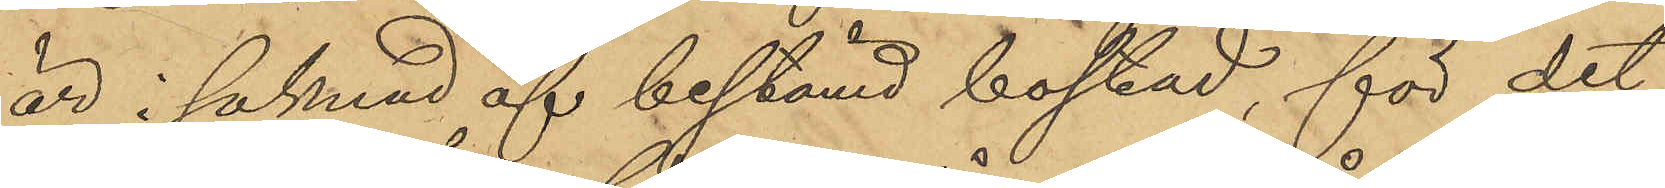är i saknad af bestämd bostad, för det
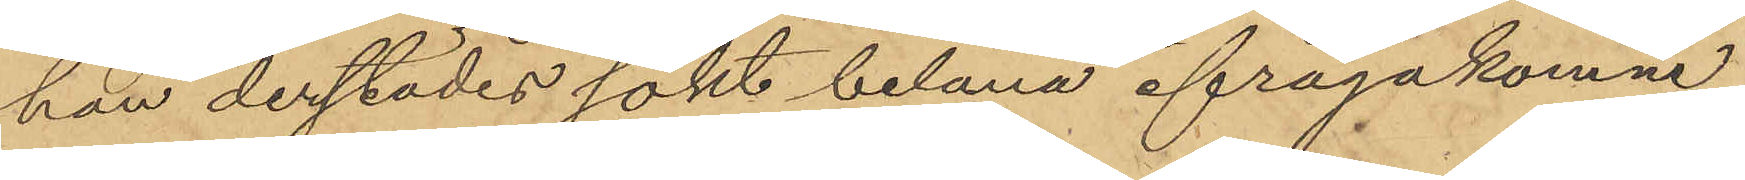han derstädes sökt belåna ifrågakomne
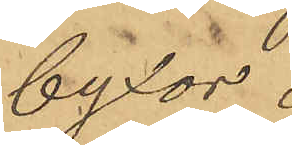byxor.
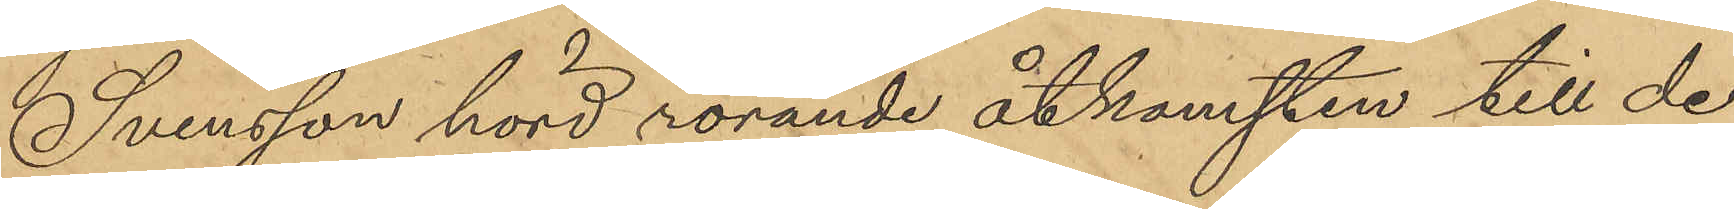Svensson hörd rörande åtkomsten till de
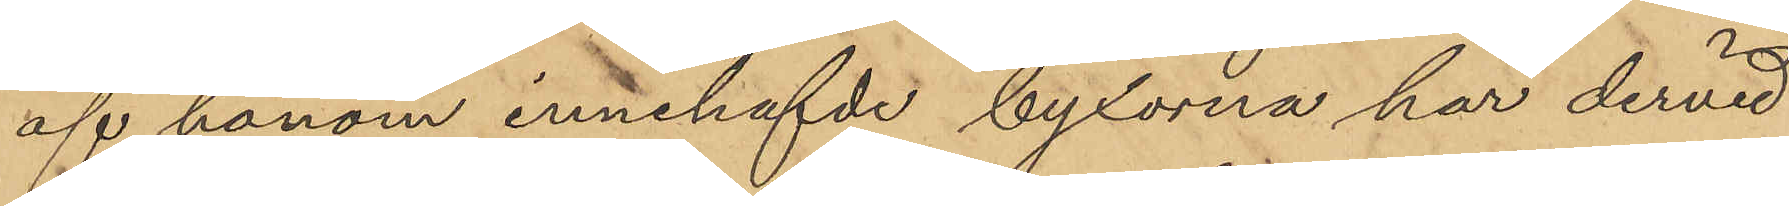af honom innehafvde byxorna har dervid
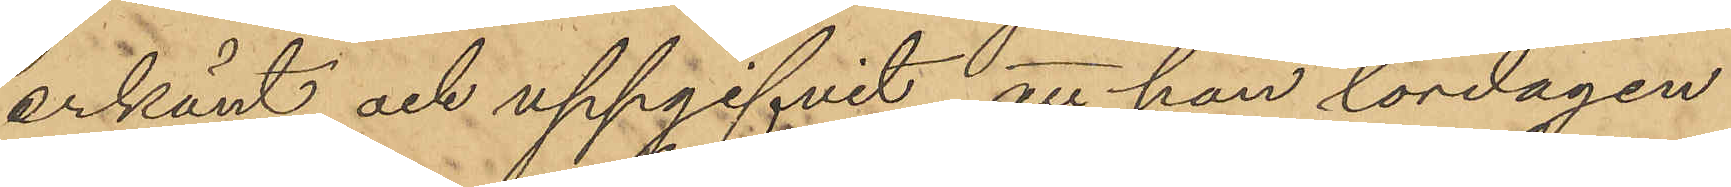erkänt och uppgifvit, att han lördagen
